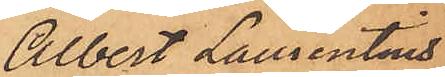Albert Laurentius
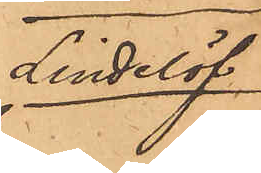Lindelöf
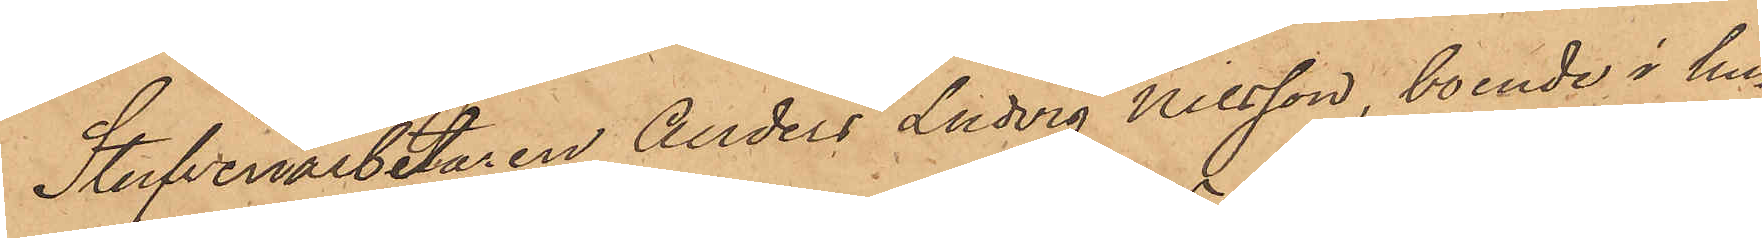Stufveriarbetaren Anders Ludvig Nilsson, boende i hu¬
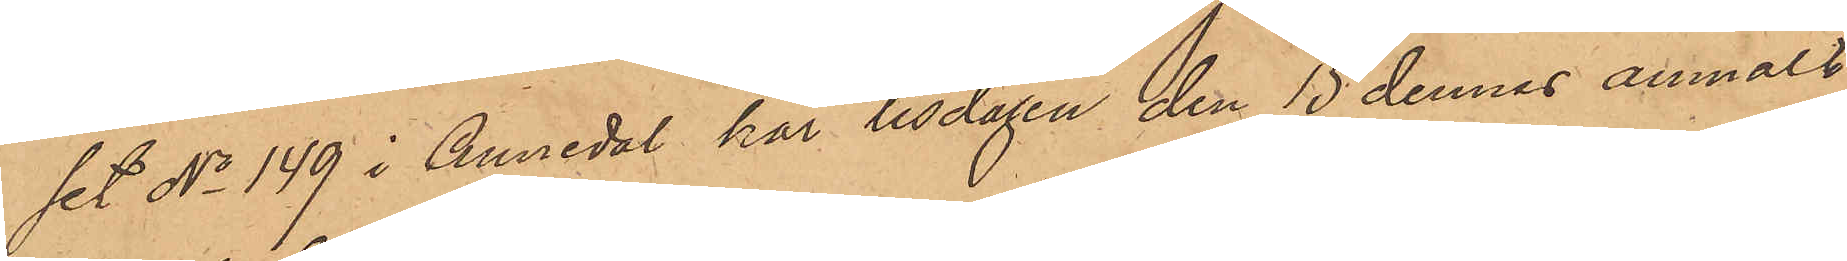set No 149 i Annedal har tisdagen den 15 dennes anmält,
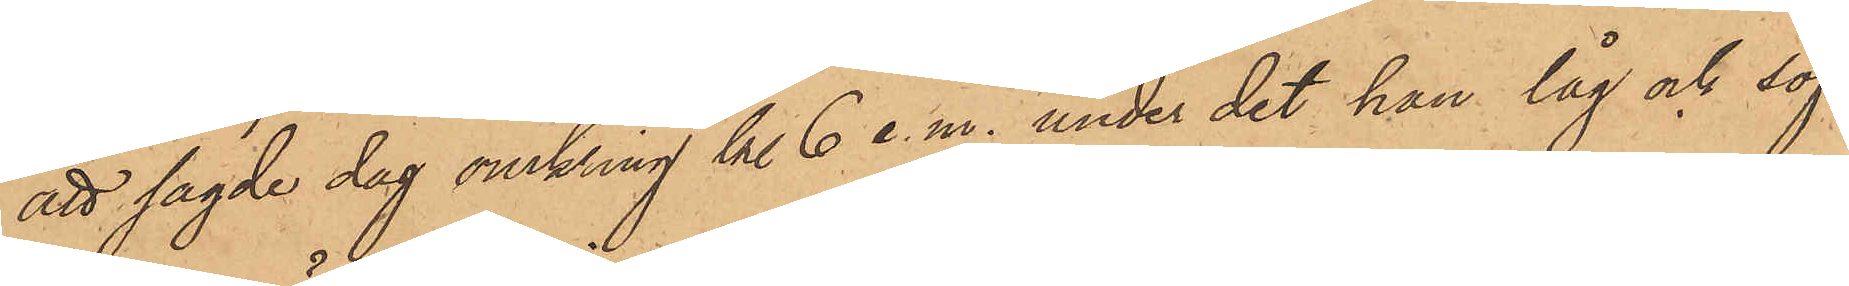att sagde dag omkring kl 6 e. m. under det han låg och sof
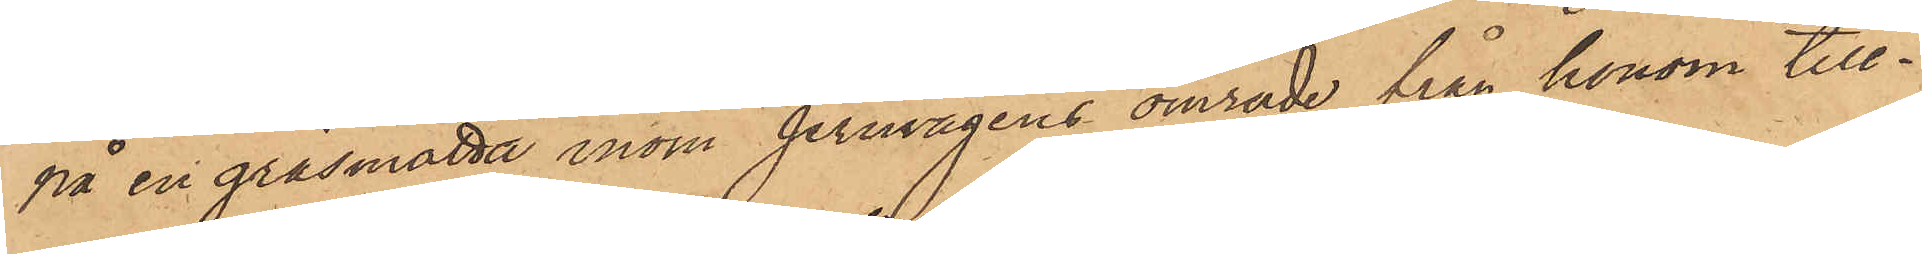på en gräsmatta inom jernvågens område från honom till¬
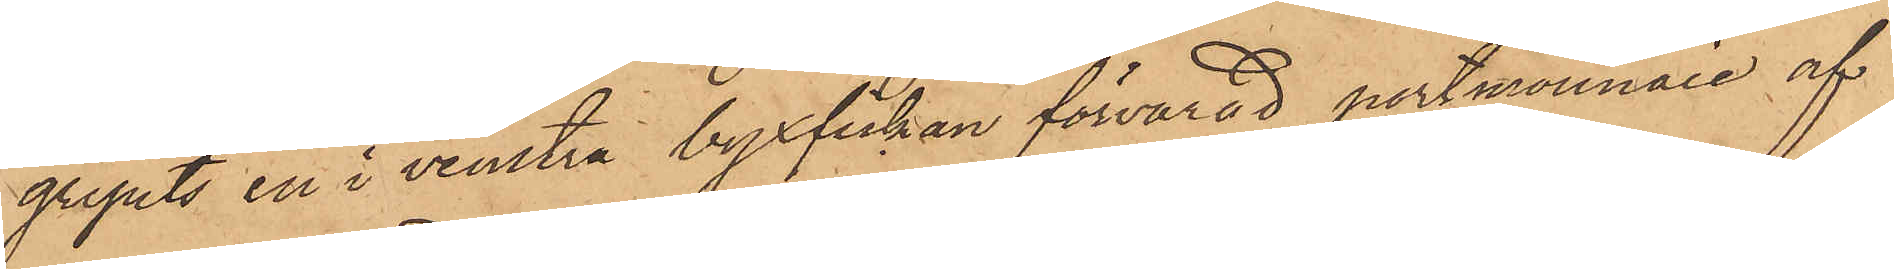gripits en i venstra byxfickan förvarad portmonnaie af
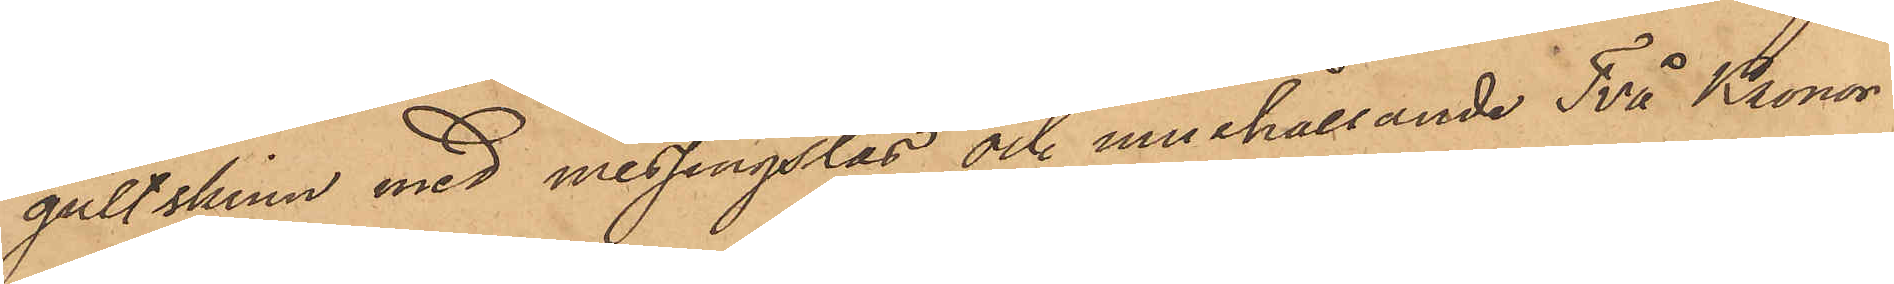gult skinn med messingslås och innehållande Två Kronor
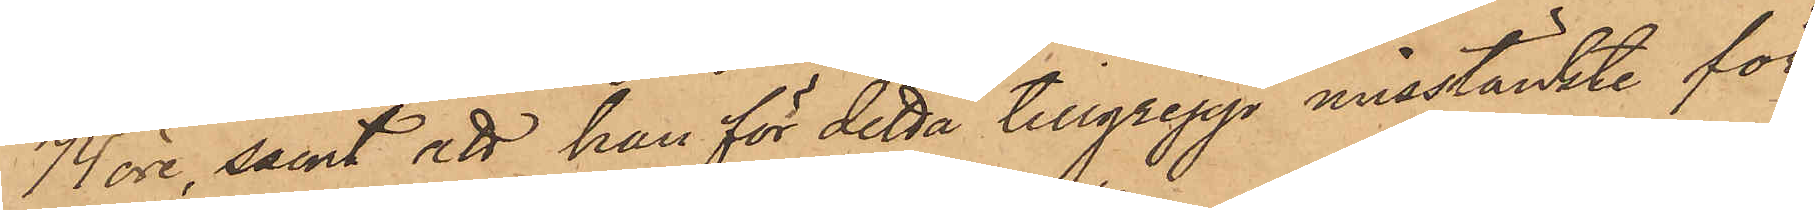74 öre, samt att han för detta tillgrepp misstänkte för
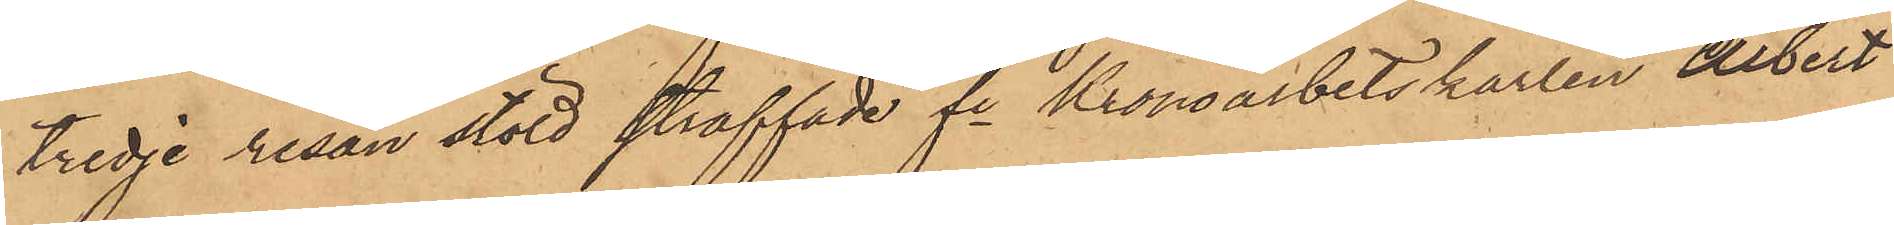tredje resan stöld straffade fre Kronoarbetskarlen Albert
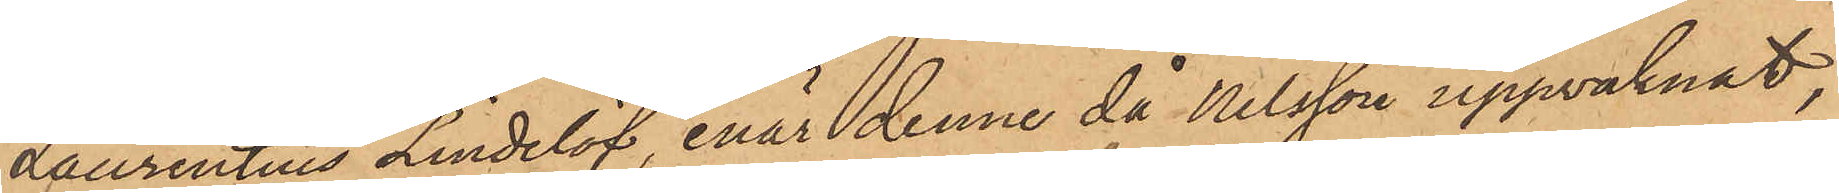Laurentius Lindelöf, enär denne då Nilsson uppvaknat,
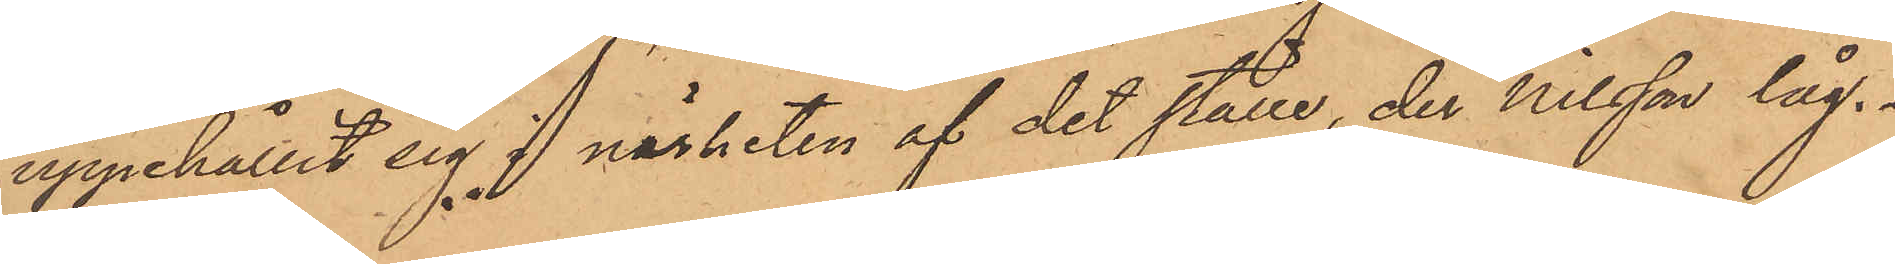uppehållit sig i närheten af det ställe, der Nilsson låg.
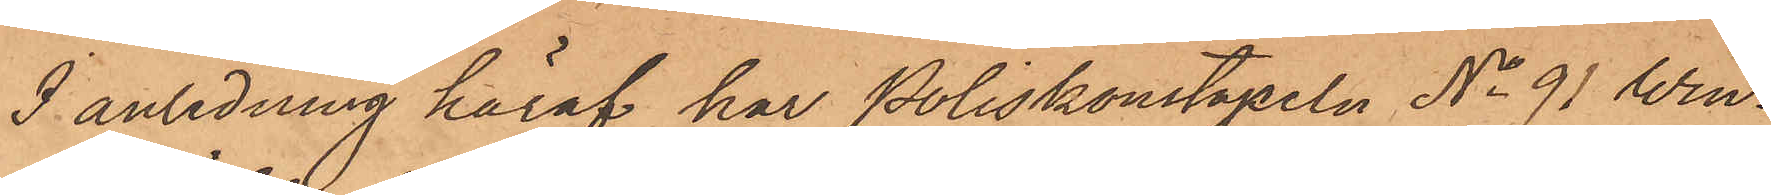I anledning häraf har Poliskonstapeln No 91 Win¬
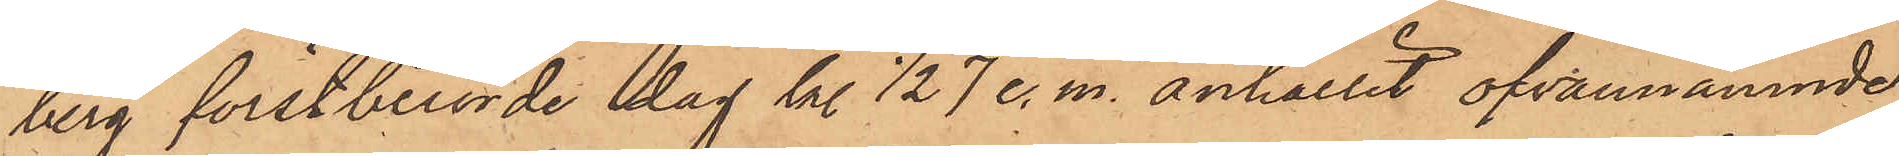berg förstberörde dag kl ½7 e. m. anhållit ofvannämnde
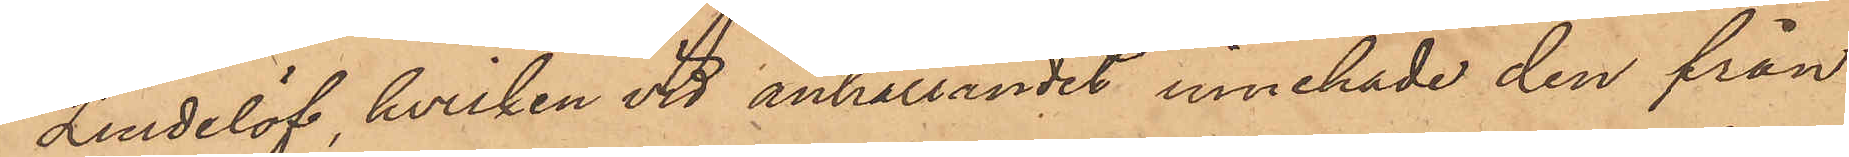Lindelöf, hvilken vid anhållandet innehade den från
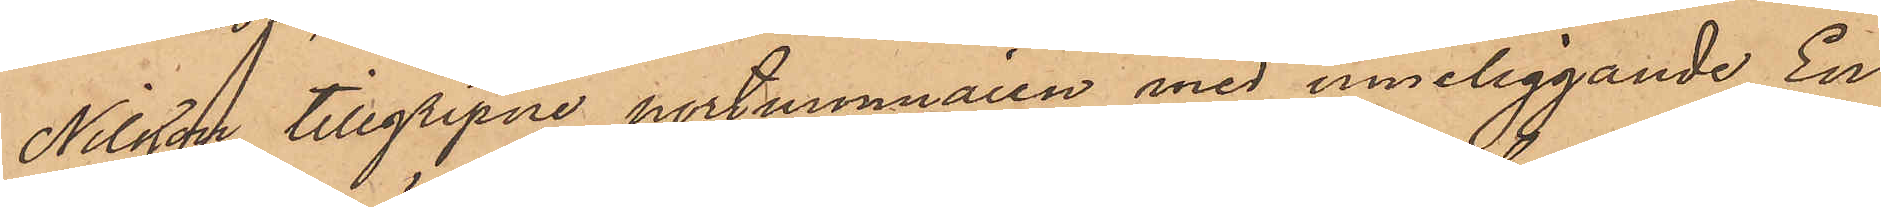Nilsson tillgripne portmonnaien med inneliggande En
